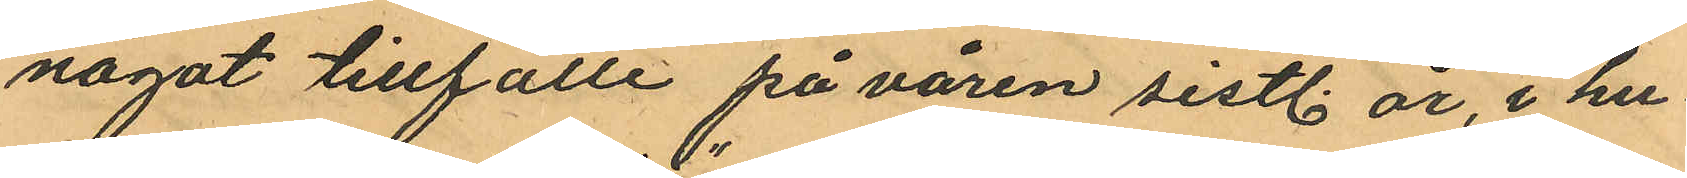något tillfälle på våren sistl. år, i hu¬
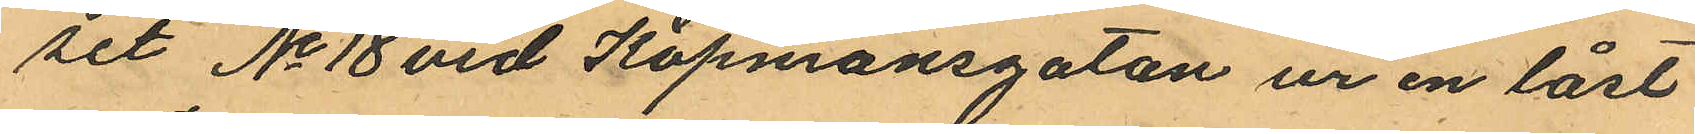set No 18 vid Köpmansgatan ur en låst
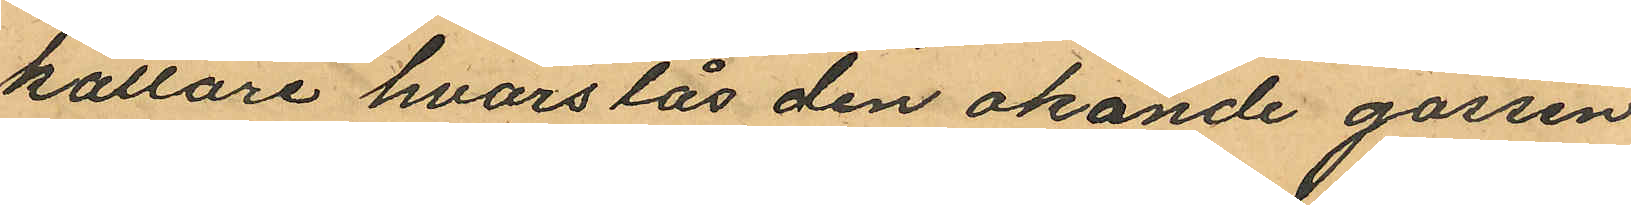källare hvars lås den okände gossen
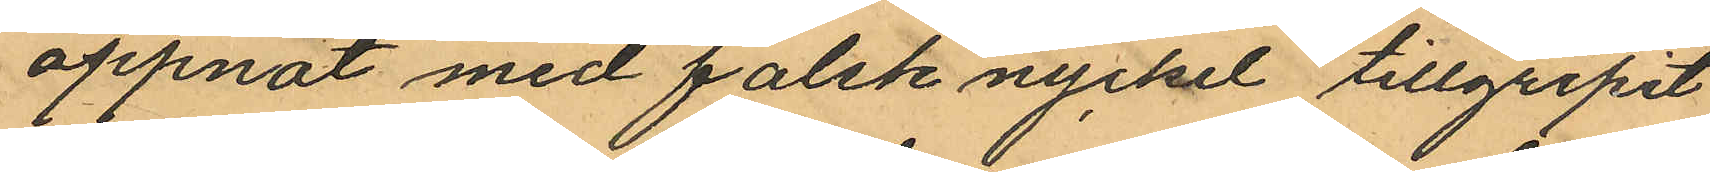öppnat med falsk nyckel tillgripit
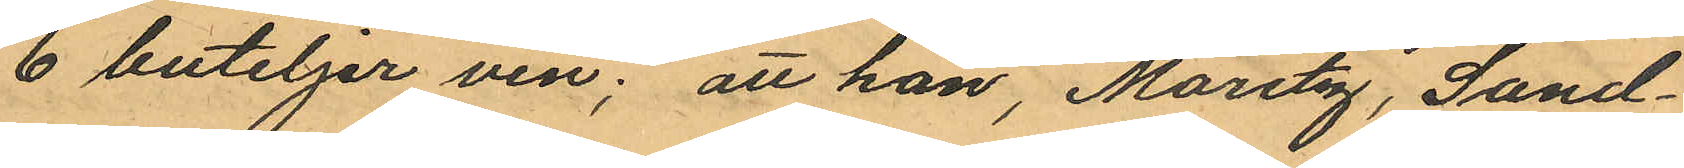6 buteljer vin; att han, Moritz, Sand¬
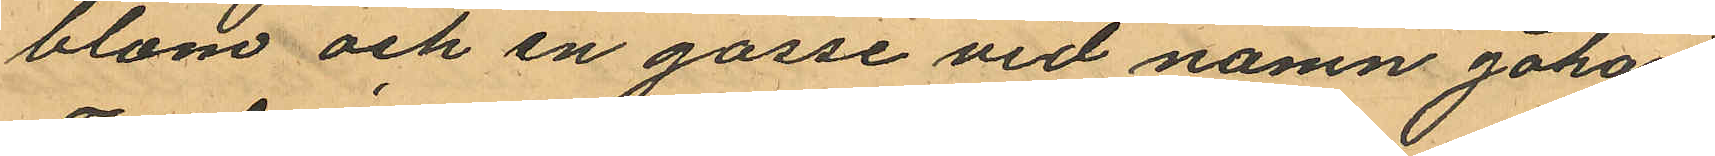blom och en gosse vid namn Johan
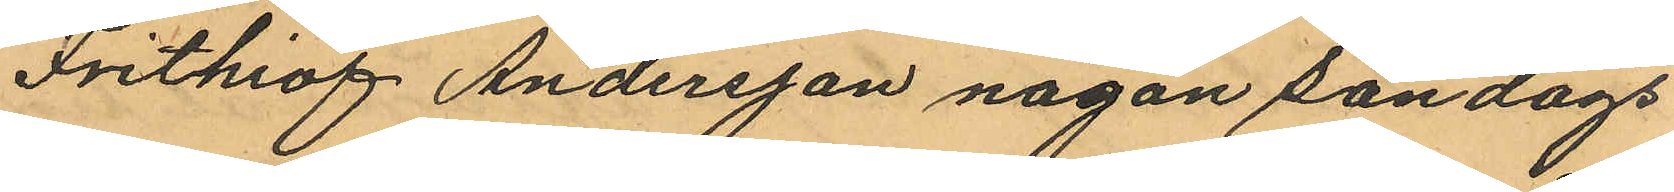Frithiof Andersson någon Söndags
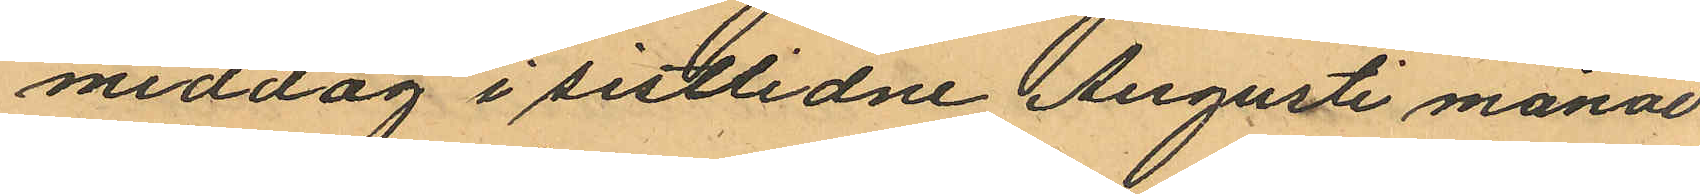middag i sistlidne Augusti månad
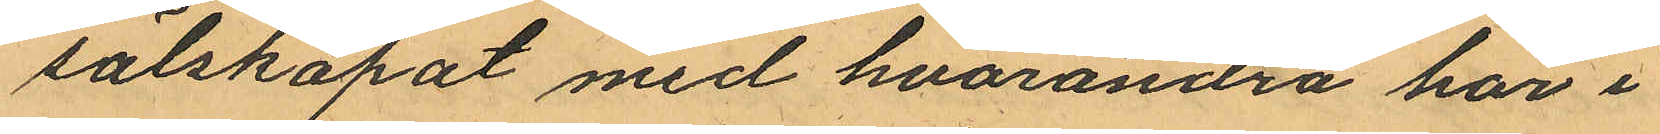sälskapat med hvarandra här i
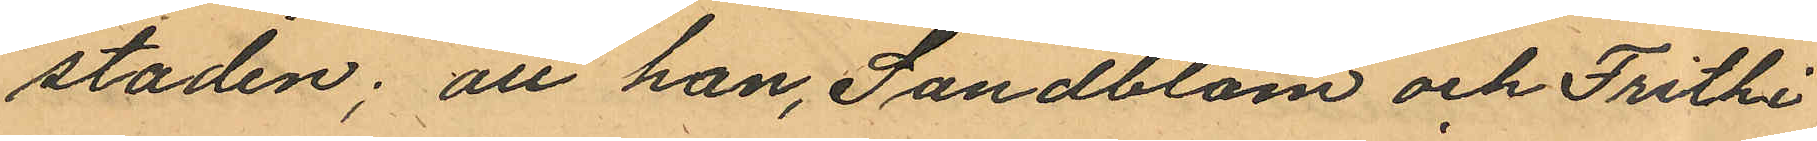staden; att han, Sandblom och Frithi¬
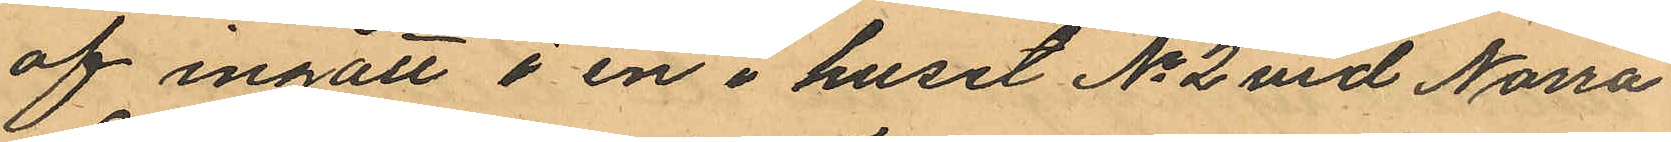of ingått i en i huset No 2 vid Norra
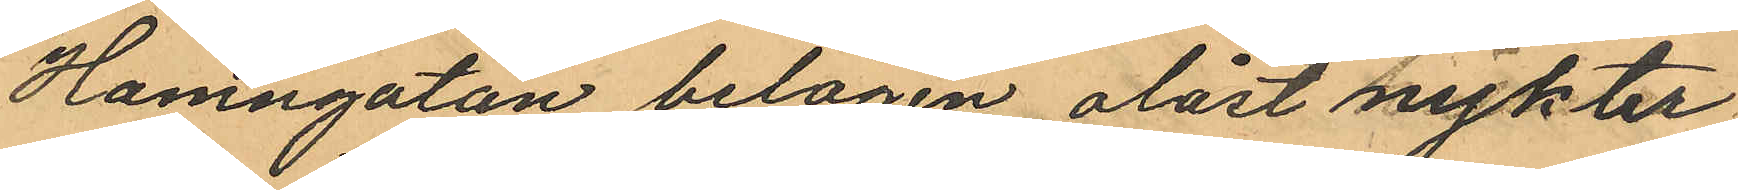Hamngatan belägen olåst nykter
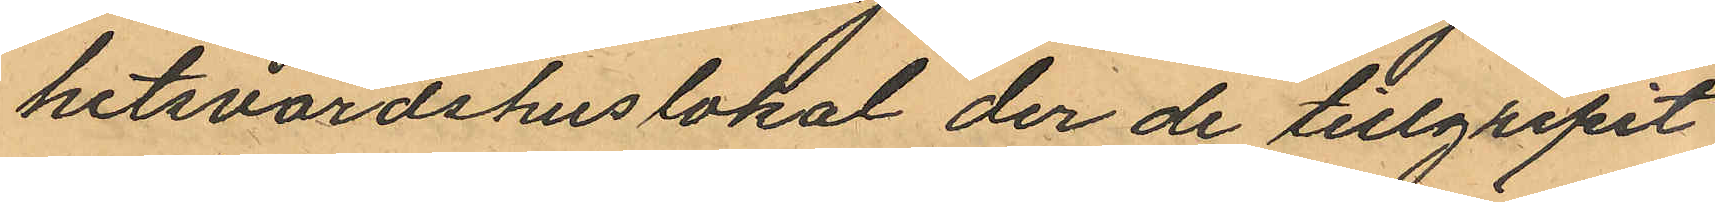hetsvärdshuslokal der de tillgripit
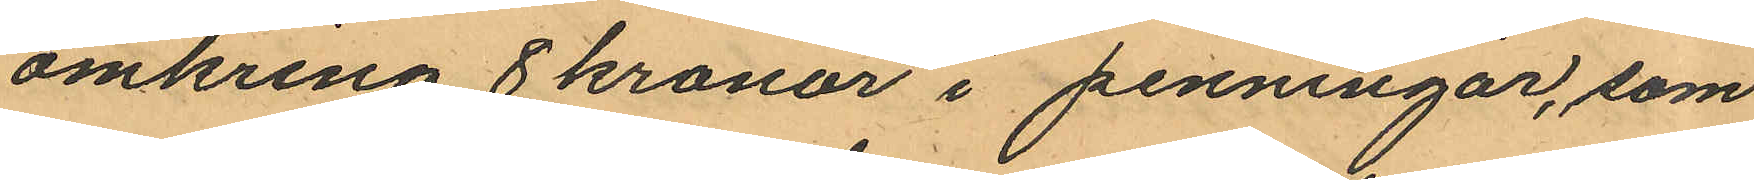omkring 8 kronor i penningar, som
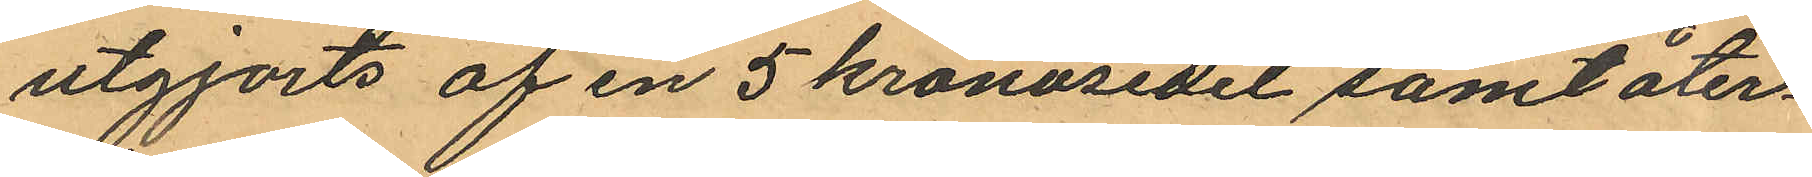utgjorts af en 5 kronosedel samt åter¬
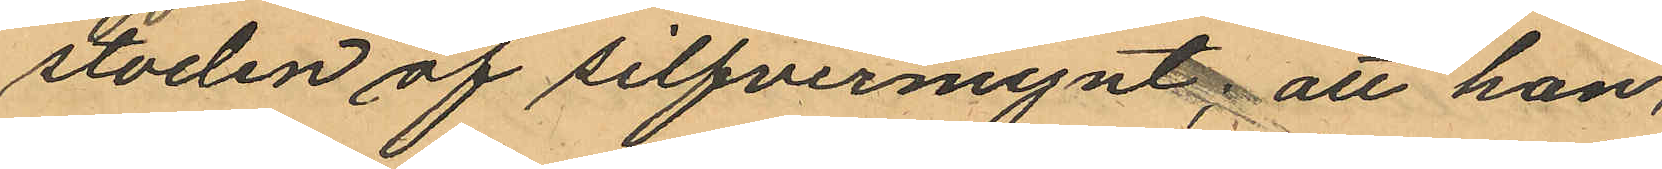stoden af silfvermynt; att han,
